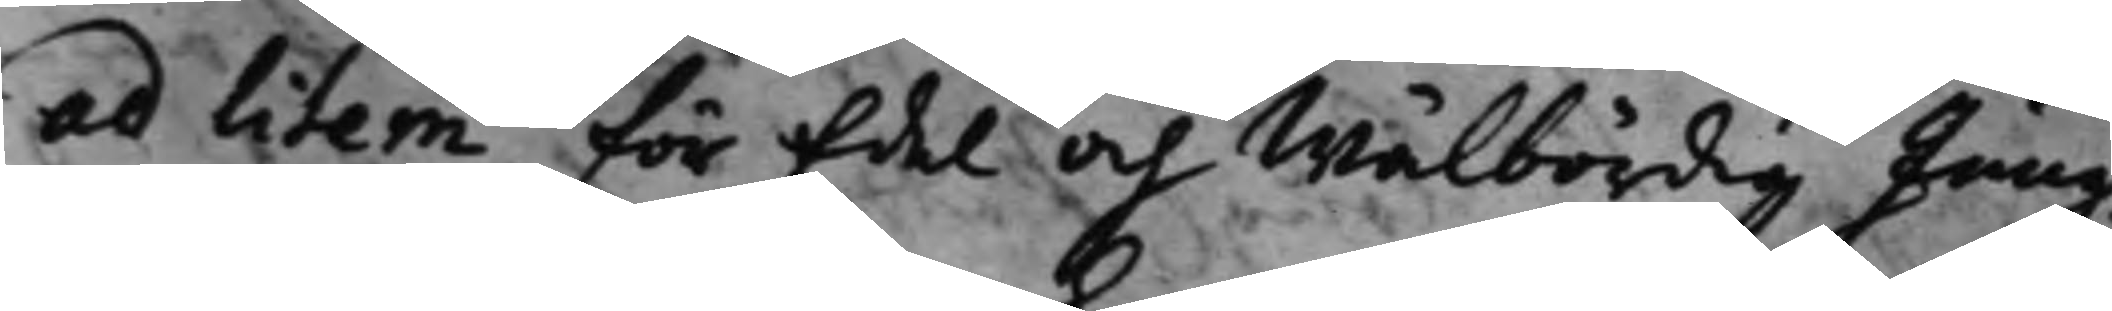ad litem för Edel och Wälbördig Jung¬
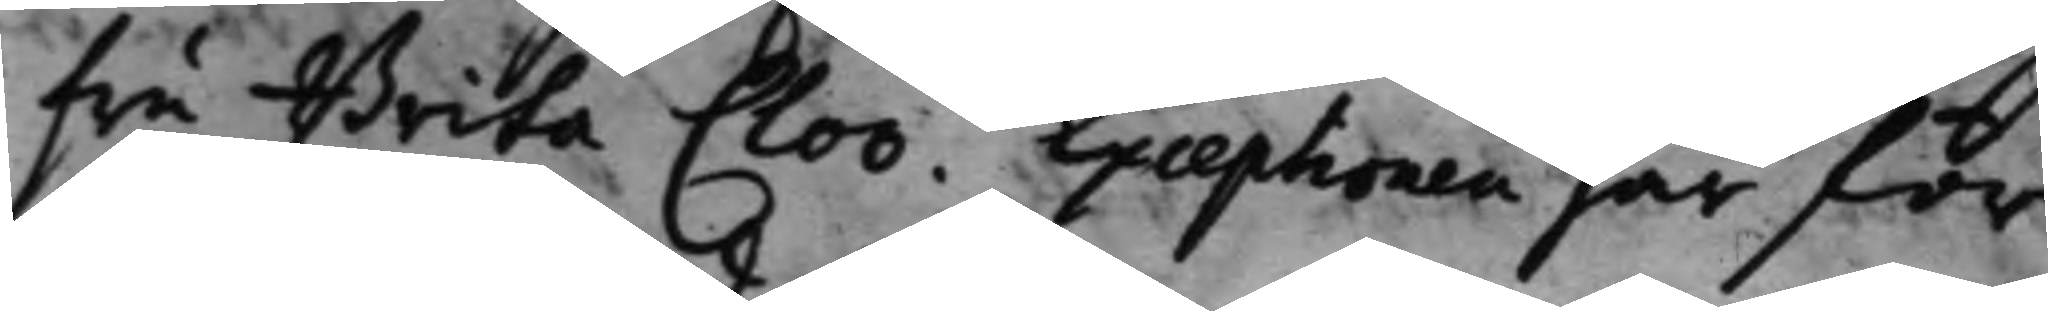fru Brita Cloo. Exceptionen har för
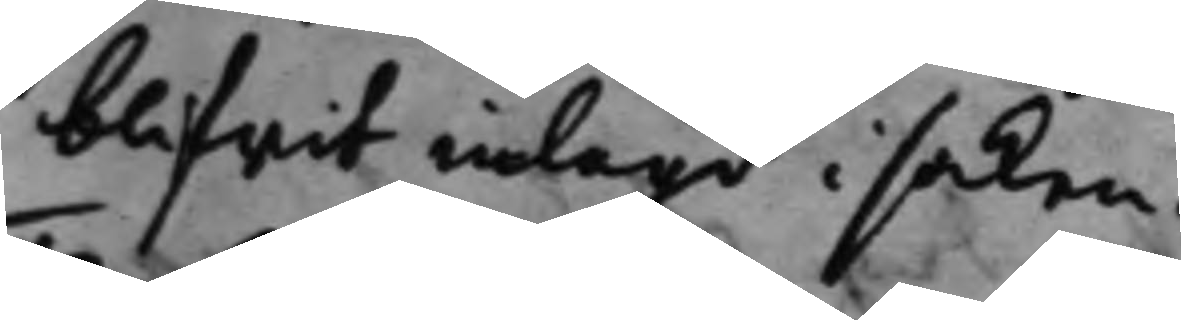blifwit inlagd i saken.
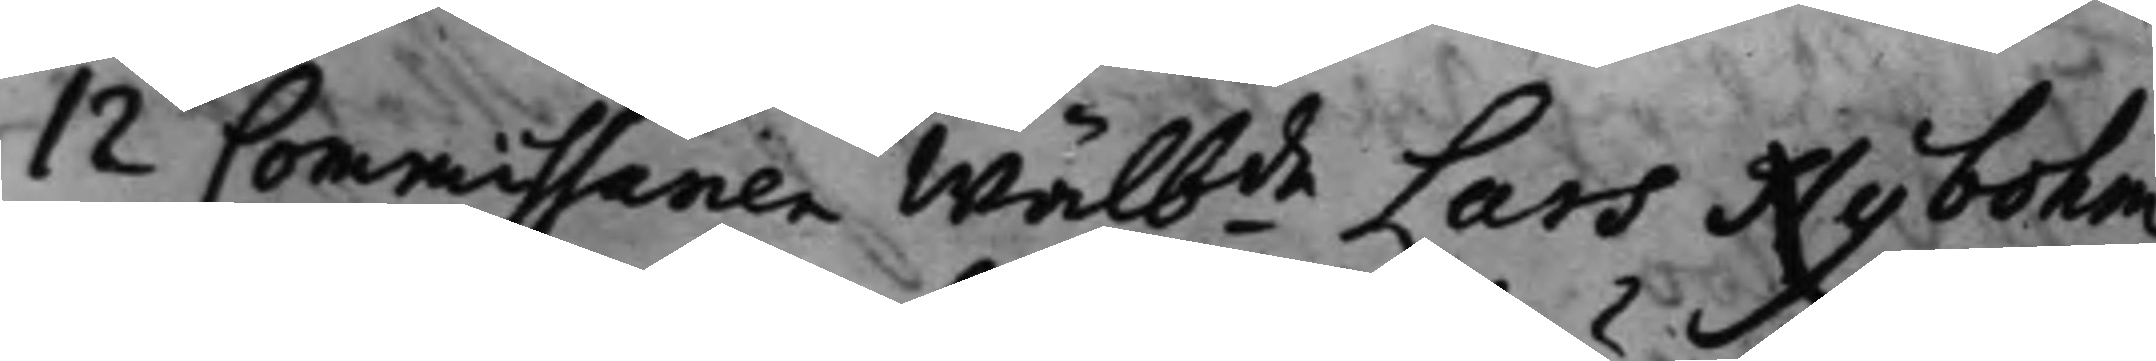12 Commissarien Wälbde Lars Nybohm 
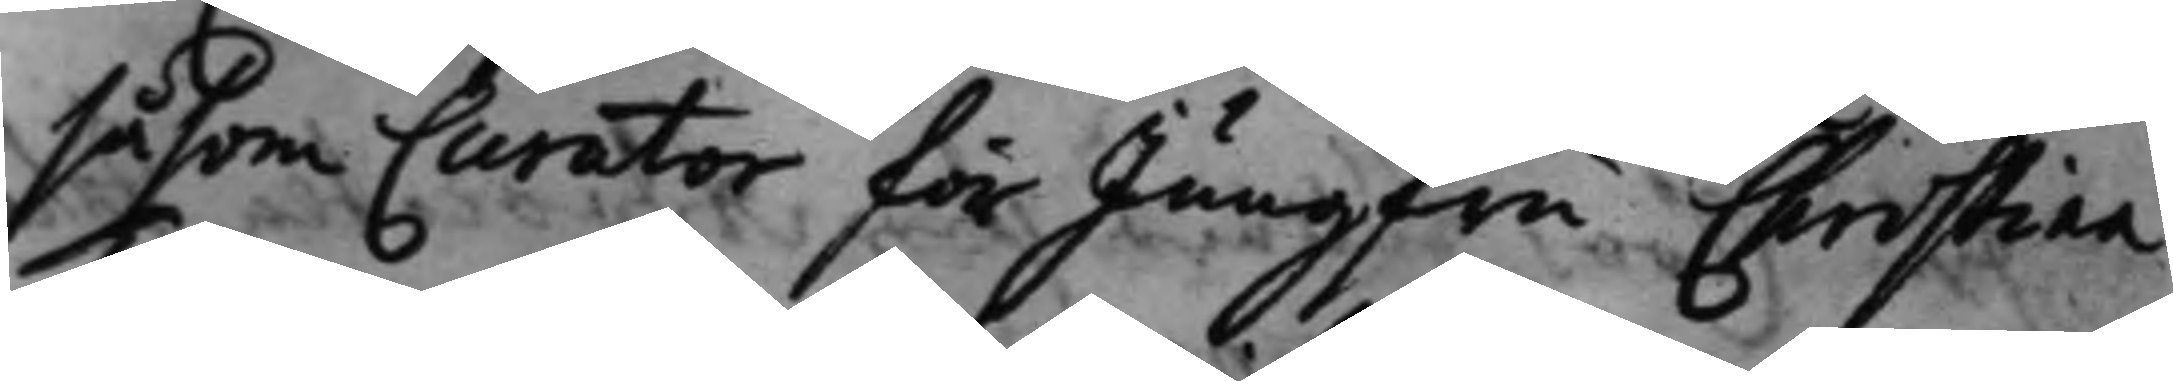såsom Curator för Jungfru Christina
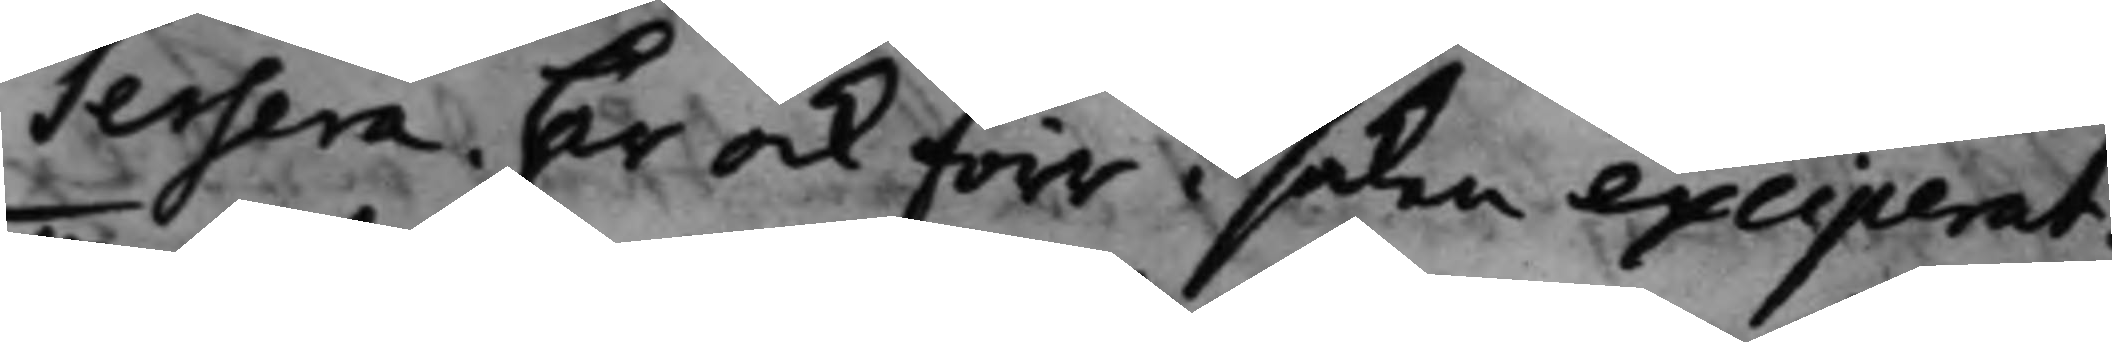Tersera. Har ock förr i saken exciperat.
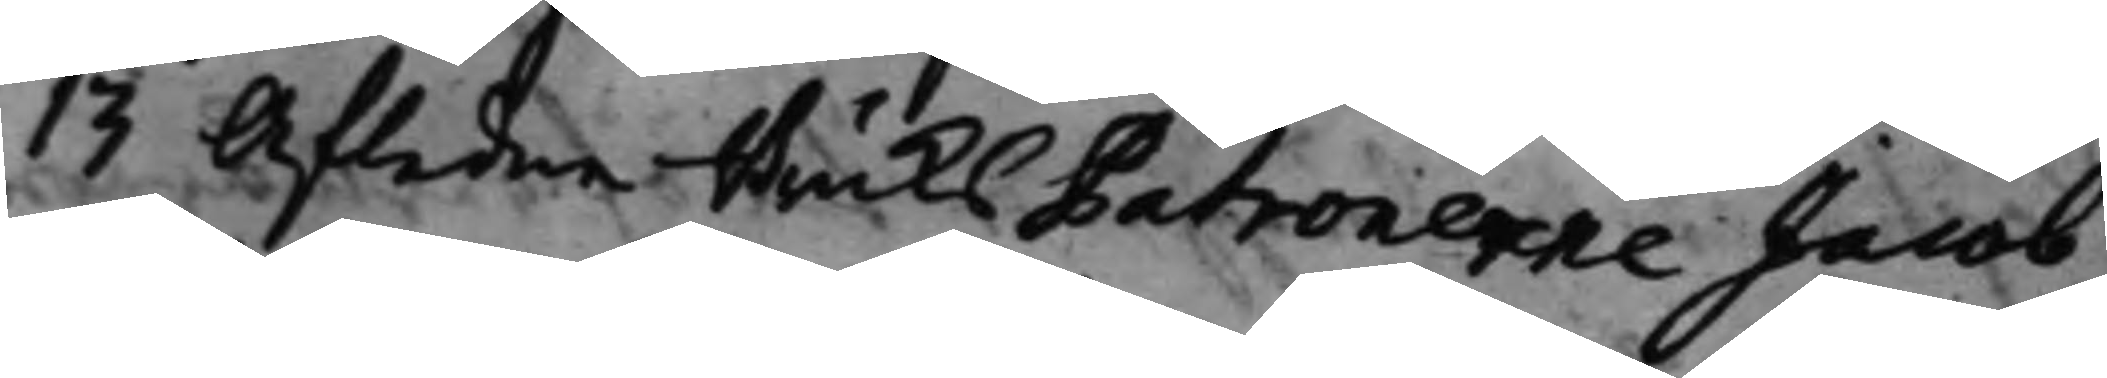13 Afledne BruksPatronerne Jacob
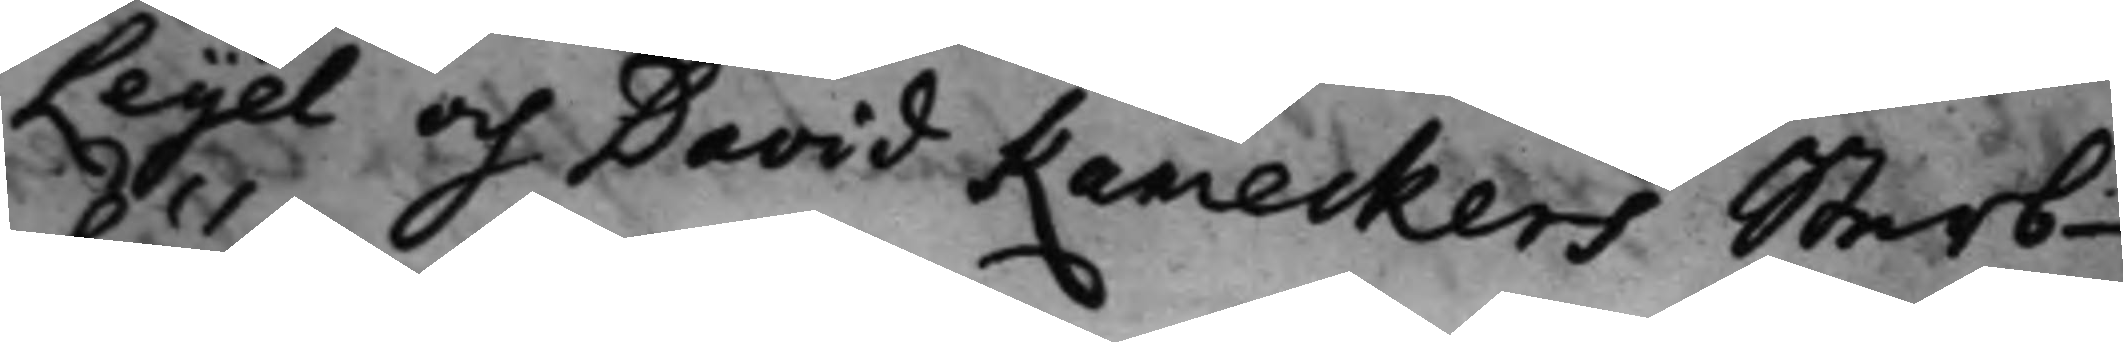Leijel och David Kameckers Sterb¬
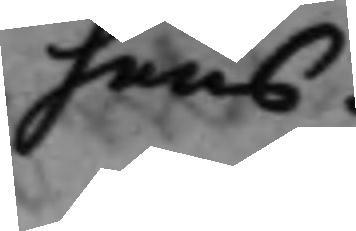huus.
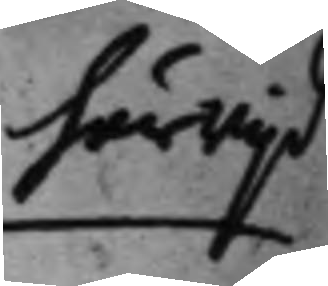härwijd
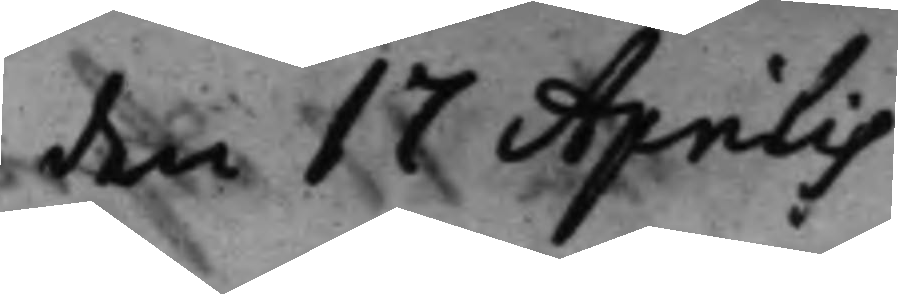den 17 Aprilis
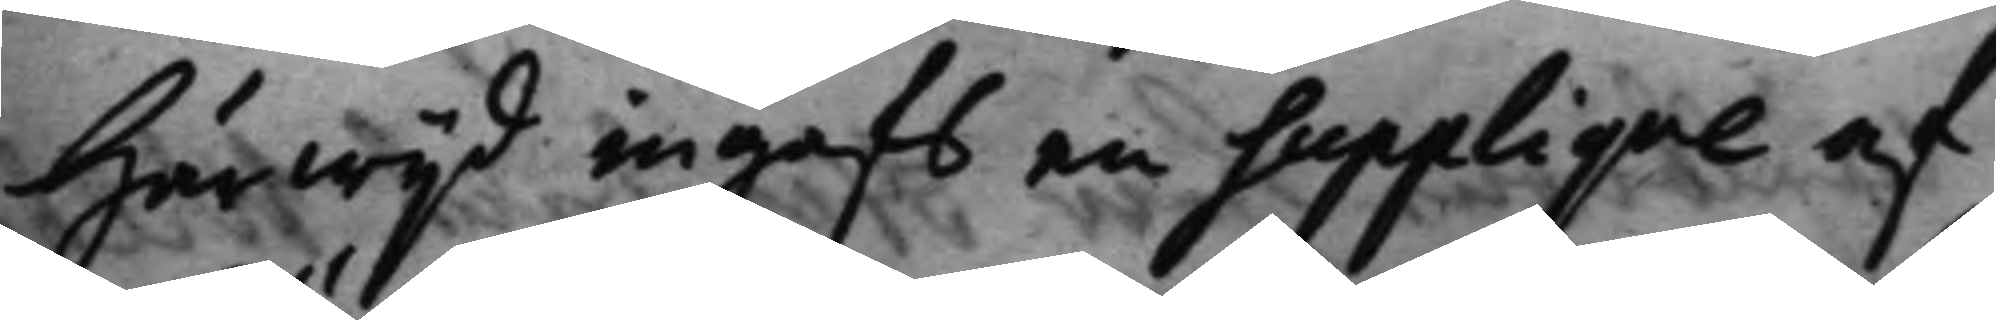Härwijd ingafs en Supplique af
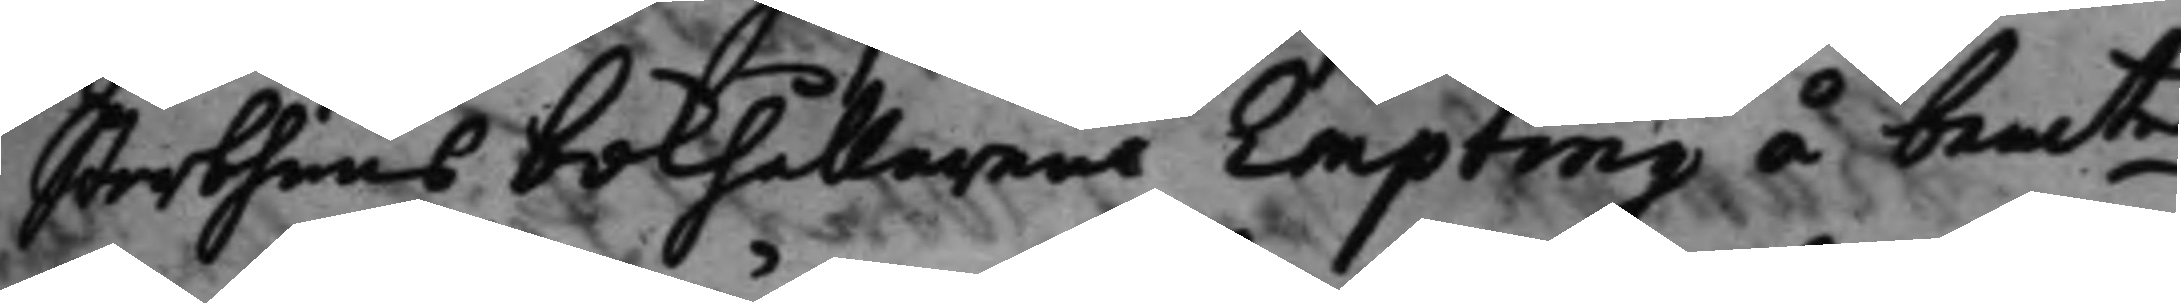Sterbhuus bokhållarens Empting å bemte 
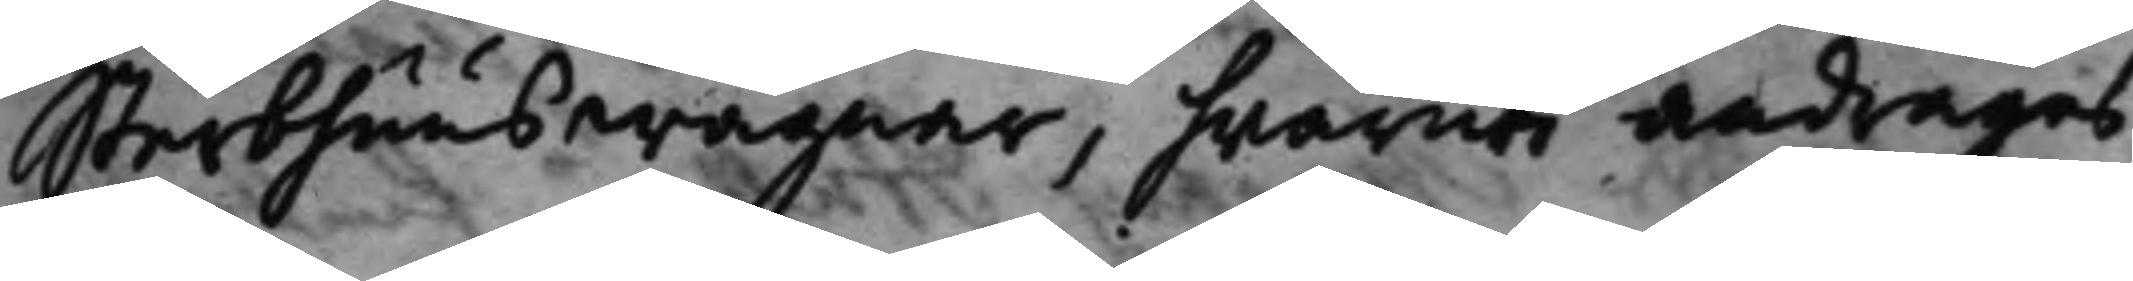Sterbhuus wägnar, hwaruti andrages
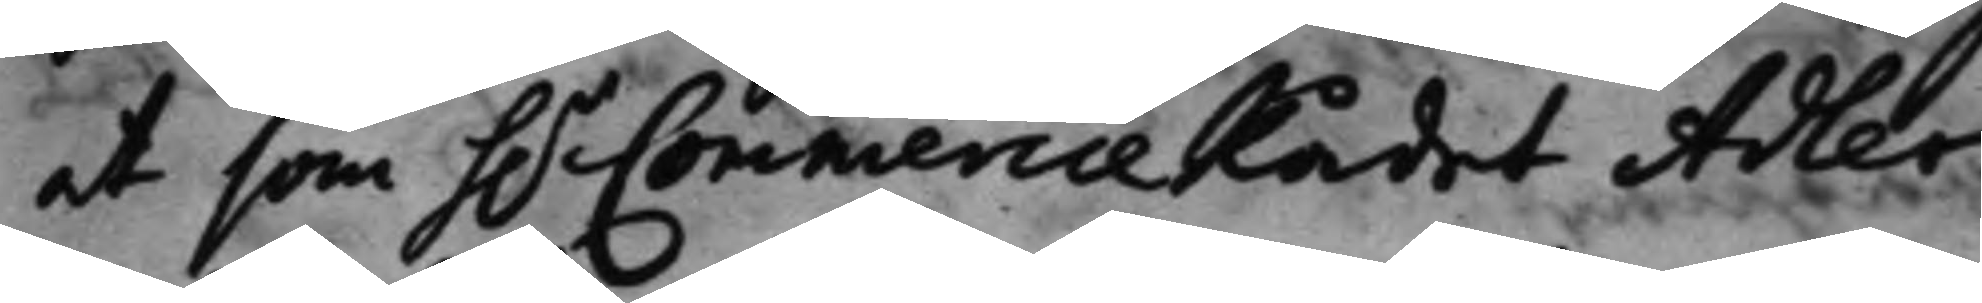at som h.r CommercieRådet Adler¬ 
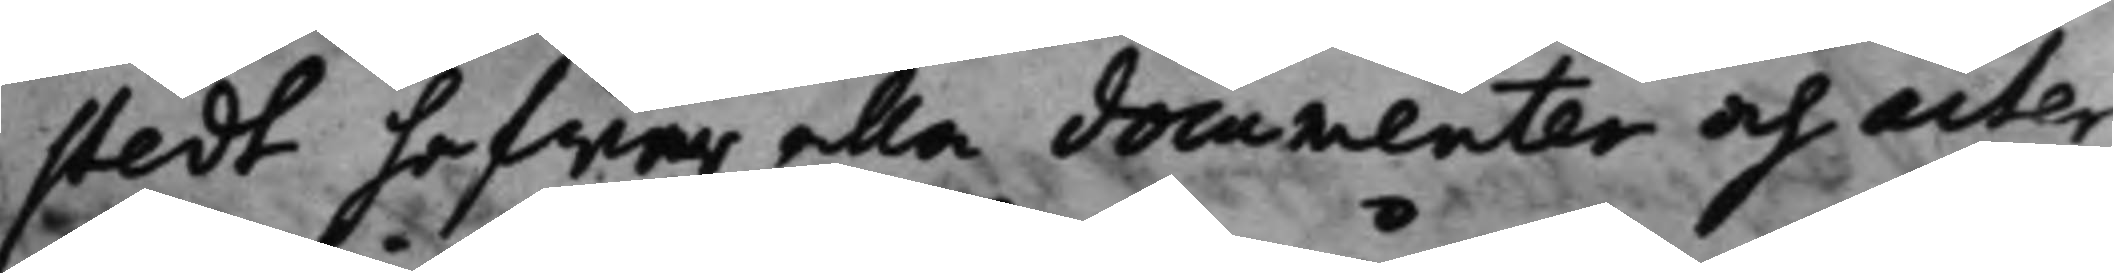stedt hafwer alla documenter och acter
